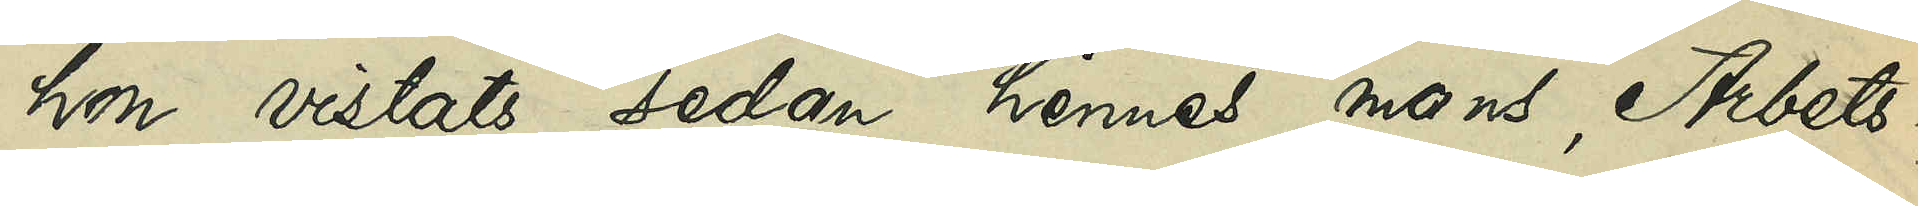hon vistats sedan hennes mans, Arbets¬
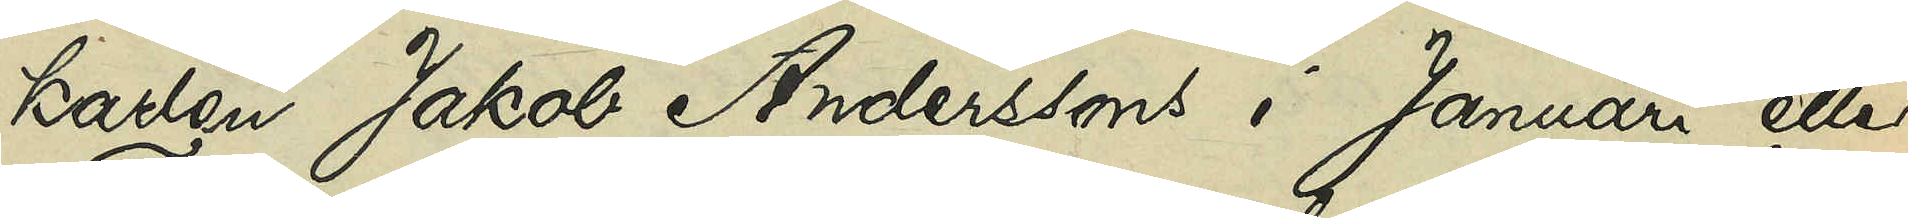karlen Jakob Anderssons i Januari eller
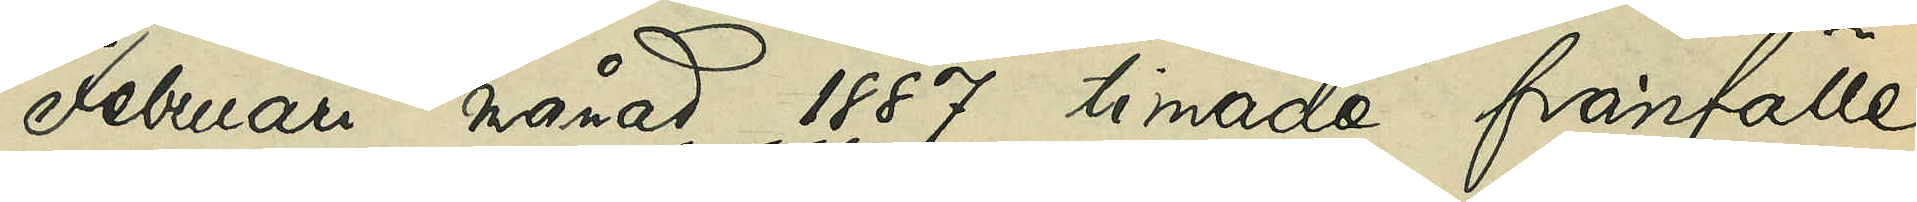Februari månad 1887 timade frånfälle,
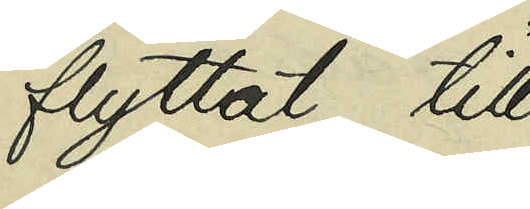flyttat till
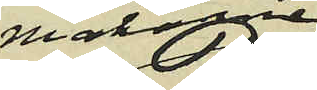makarne
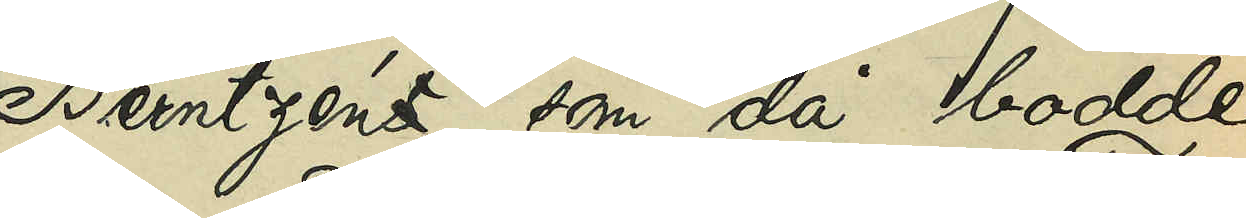Berntzéns, som då bodde
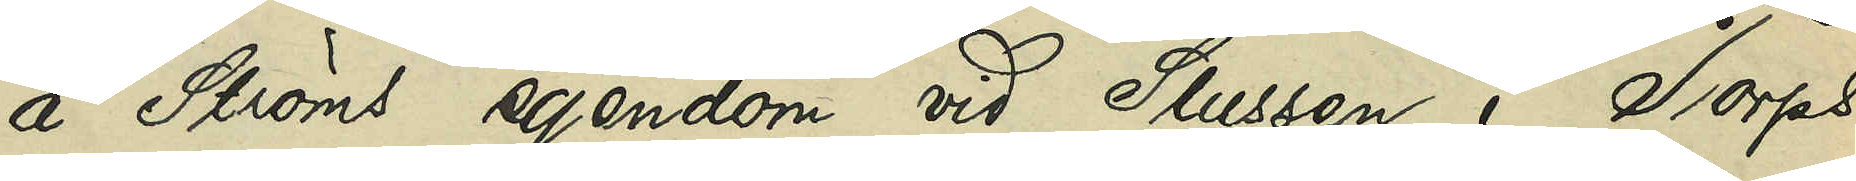å Ströms egendom vid Slussen i Torps
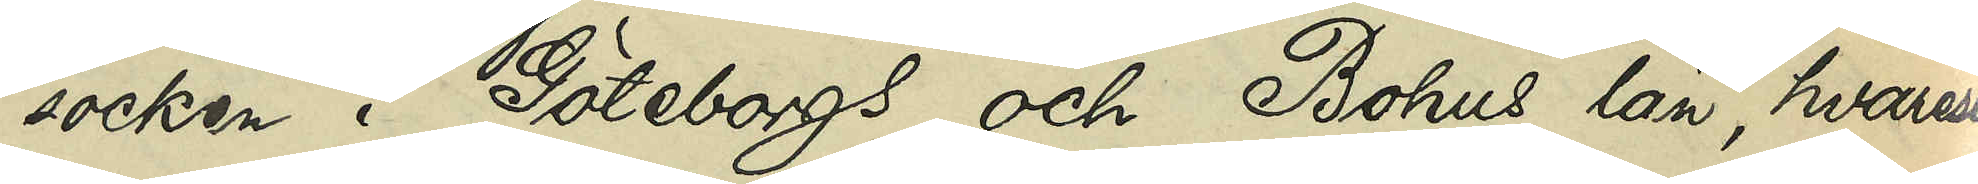socken i Göteborgs och Bohus län, hvarest
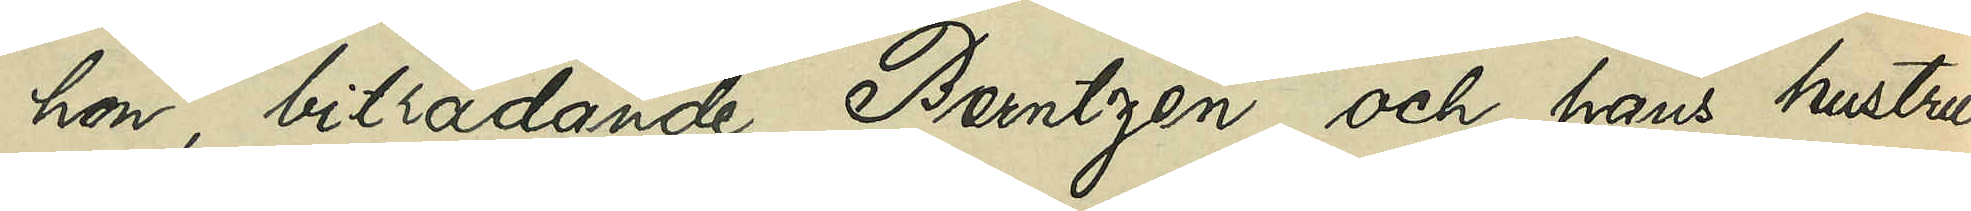hon, biträdande Berntzén och hans hustru
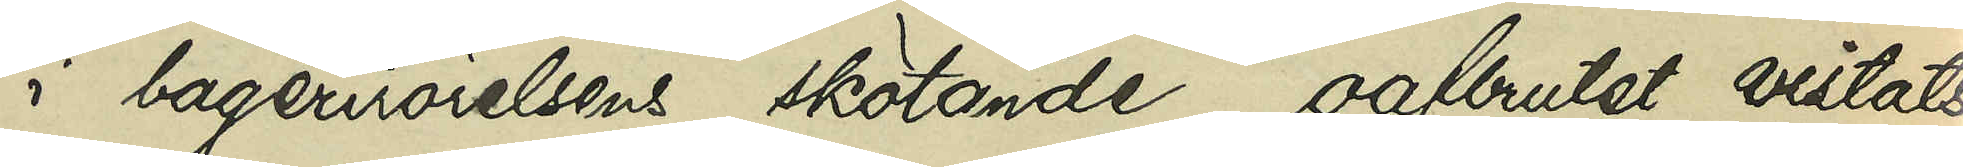i bagerirörelsens skötande, oafbrutet vistats
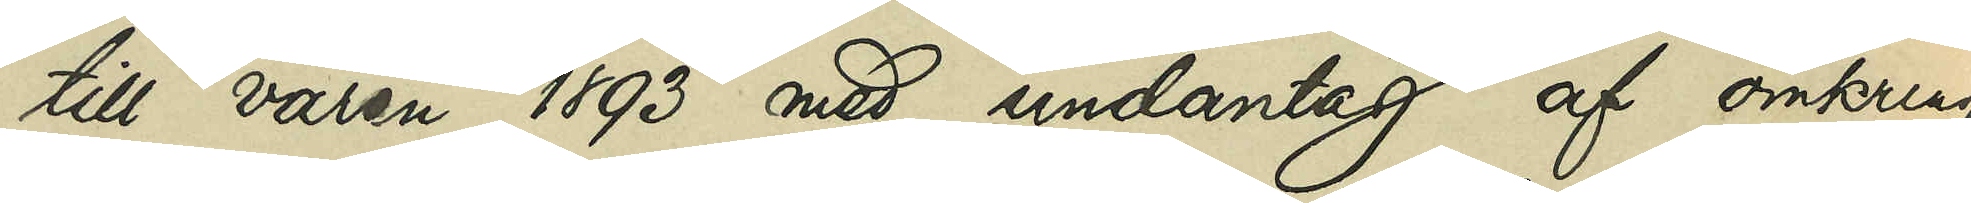till våren 1893 med undantag af omkring
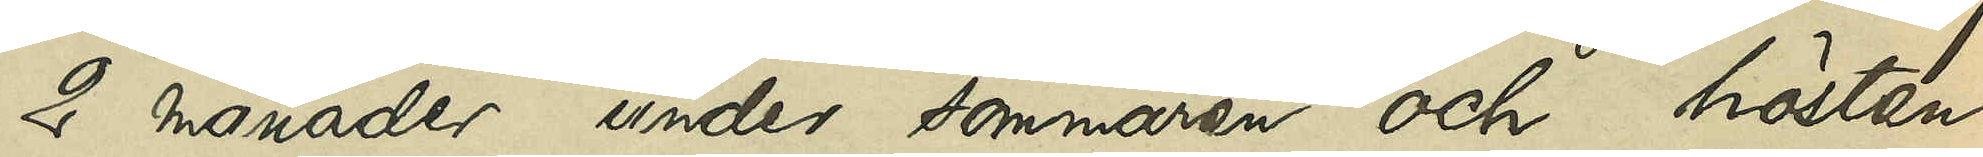2 månader under sommaren och hösten
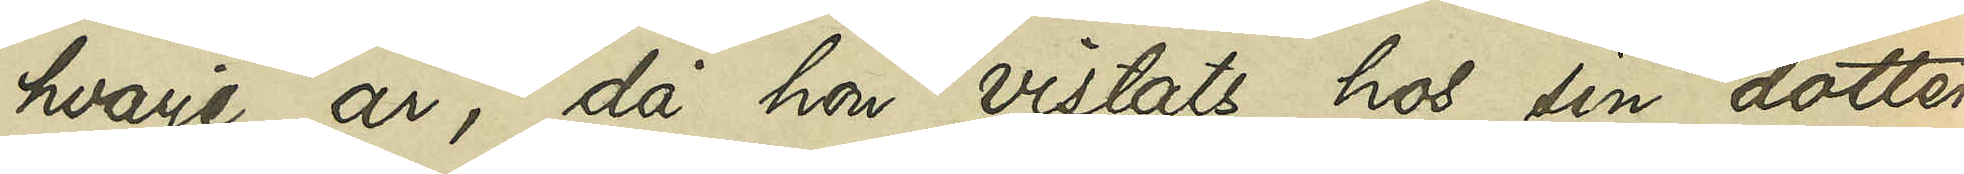hvarje år, då hon vistats hos sin dotter,
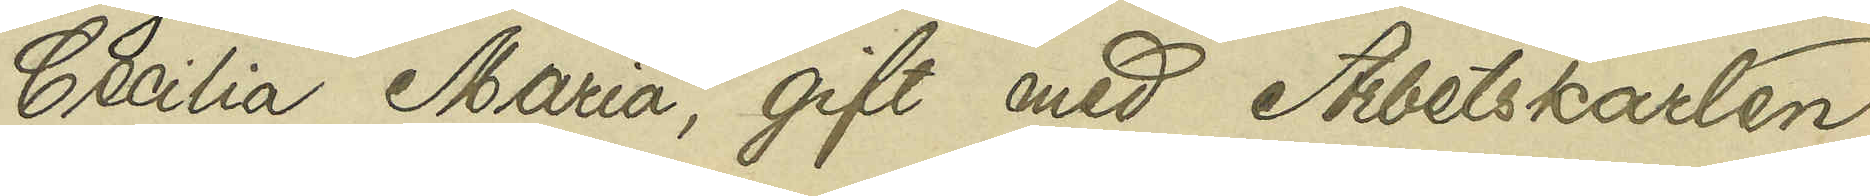Cecilia Maria, gift med Arbetskarlen
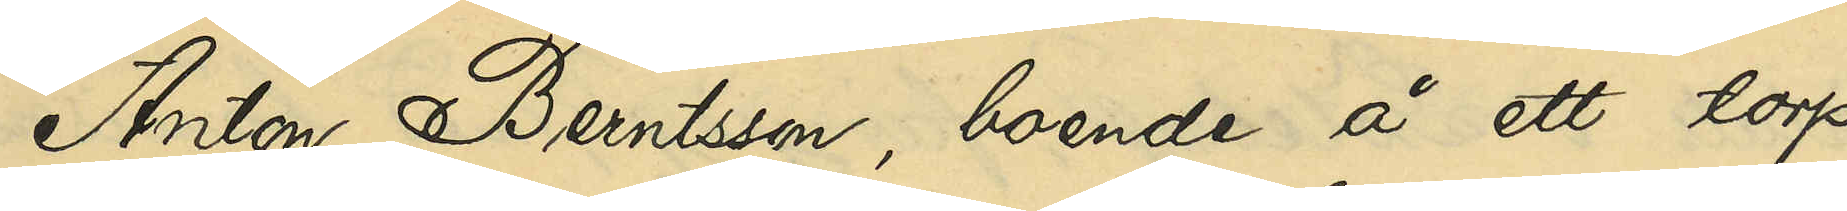Anton Berntsson, boende å ett torp
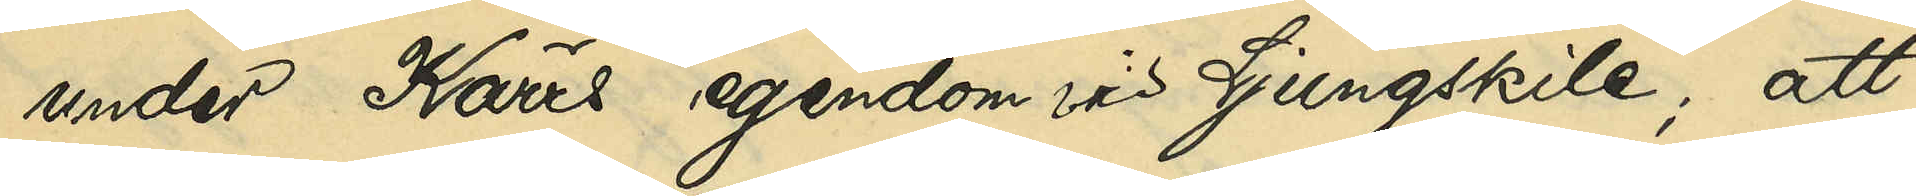under Kärrs egendom vid Ljungskile; att
